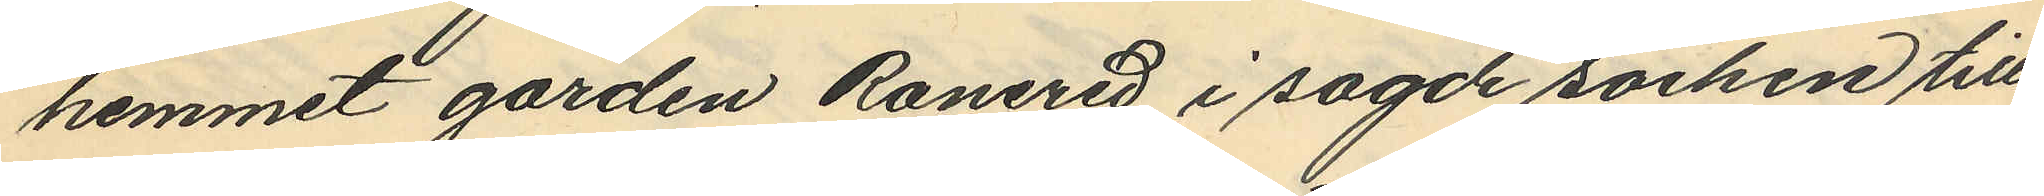hemmet gården Ranered i sagde socken till
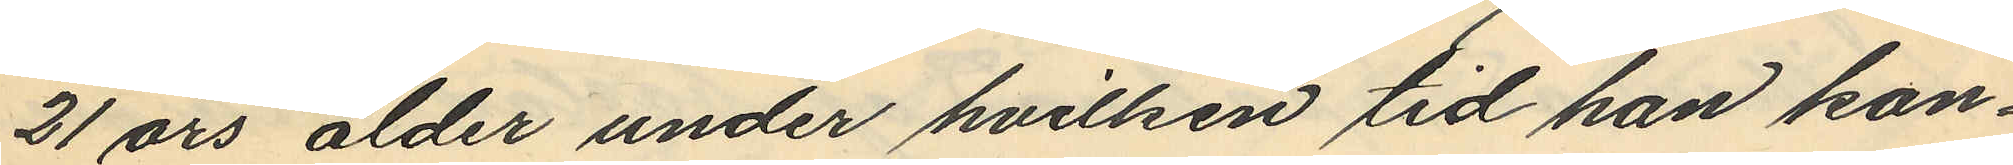21 års ålder under hvilken tid han kon¬
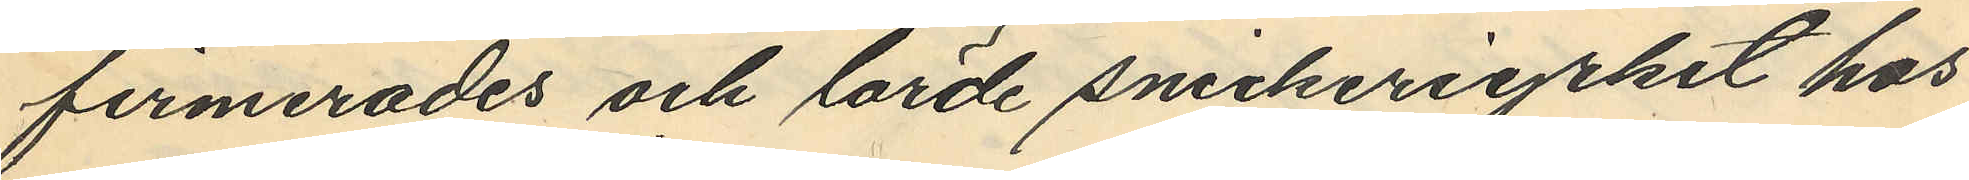firmerades och lärde snickeriyrket hos
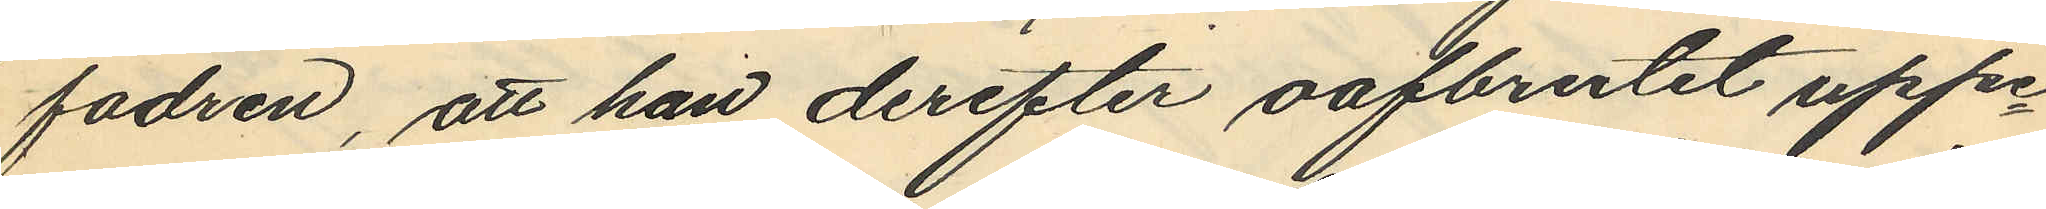fadren, att han derefter oafbrutit uppe¬
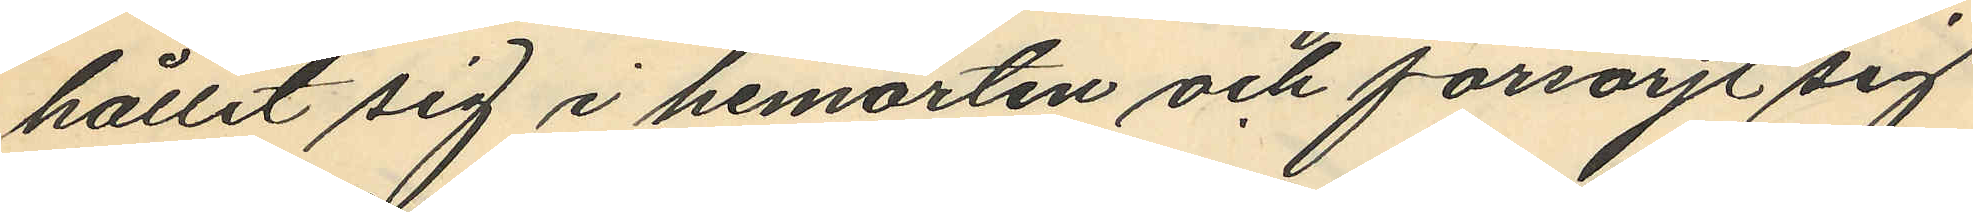hållit sig i hemorten och försörjt sig
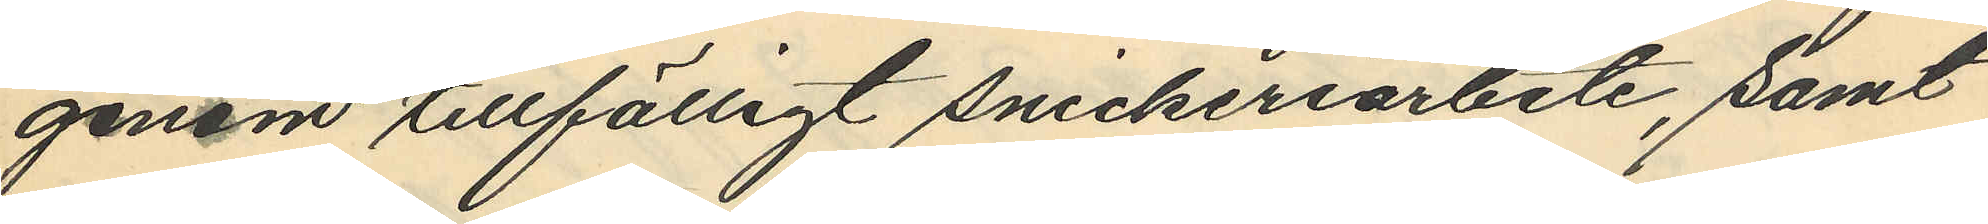genom tillfälligt snickeriarbete, samt
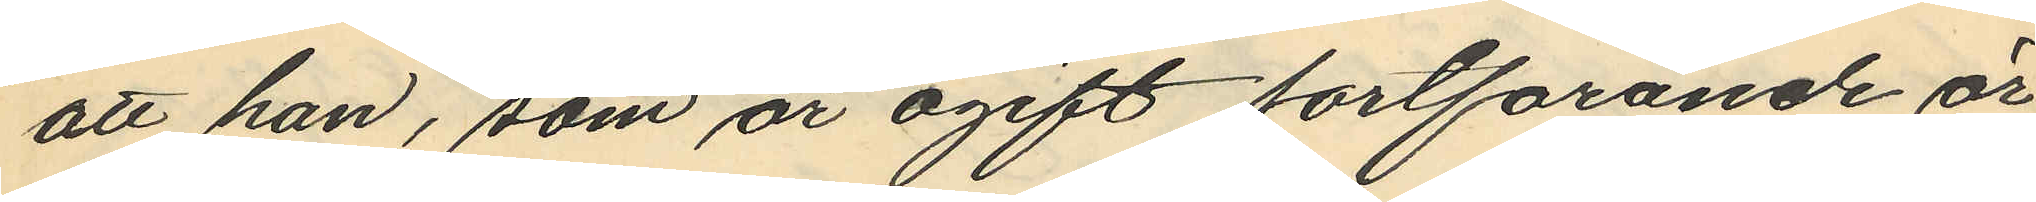att han, som är ogift fortfarande är
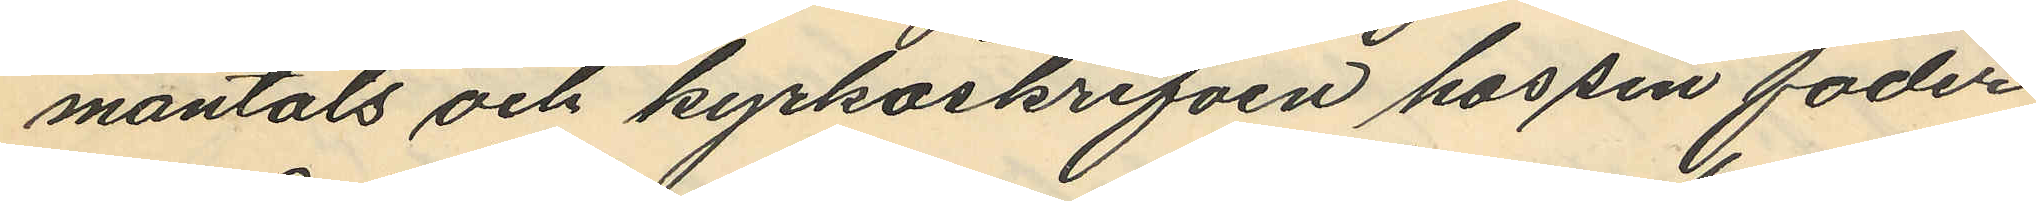mantals och kyrkoskrifven hos sin fader
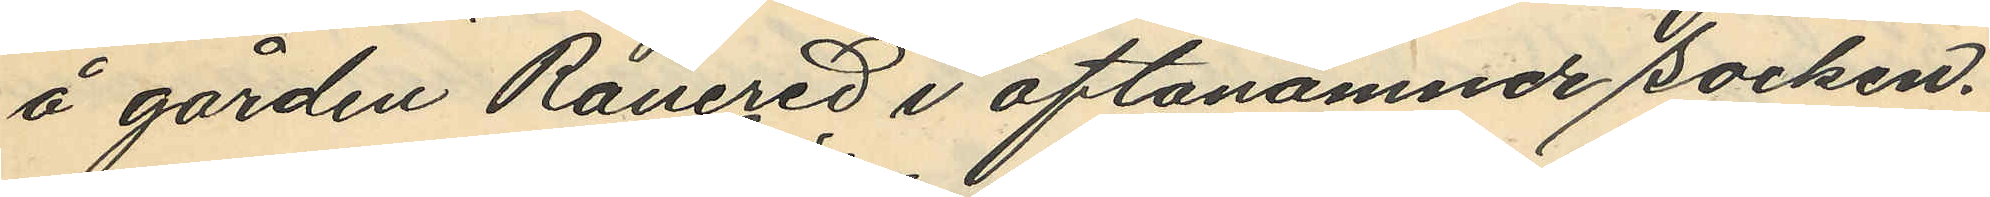å gården Ranered i oftanämnde socken.
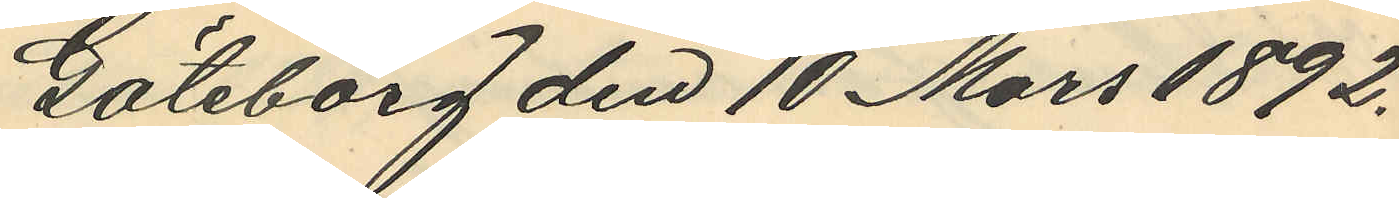Göteborg den 10 Mars 1892.
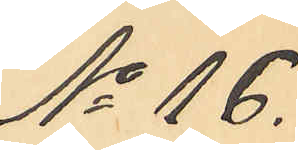No 16.
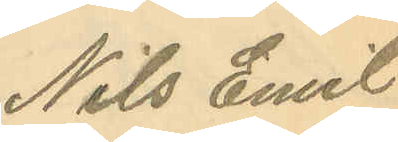Nils Emil
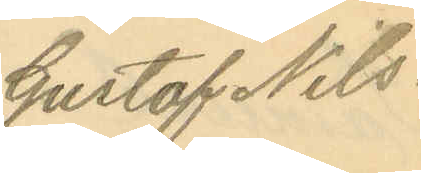Gustaf Nils¬
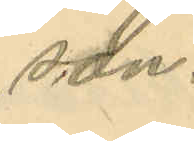son.
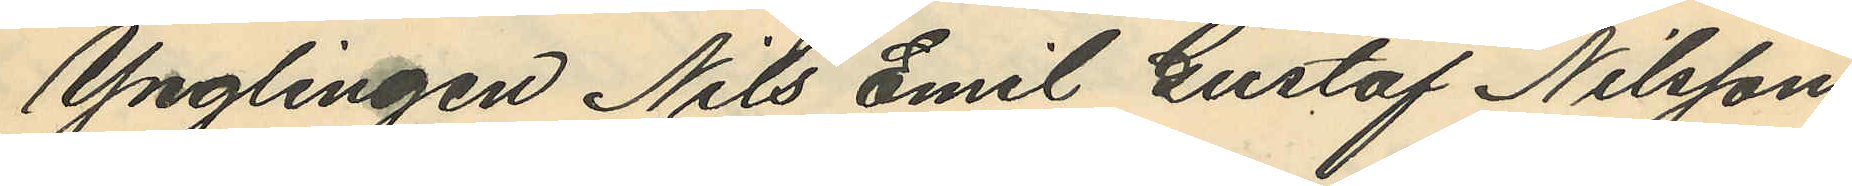Ynglingen Nils Emil Gustaf Nilsson
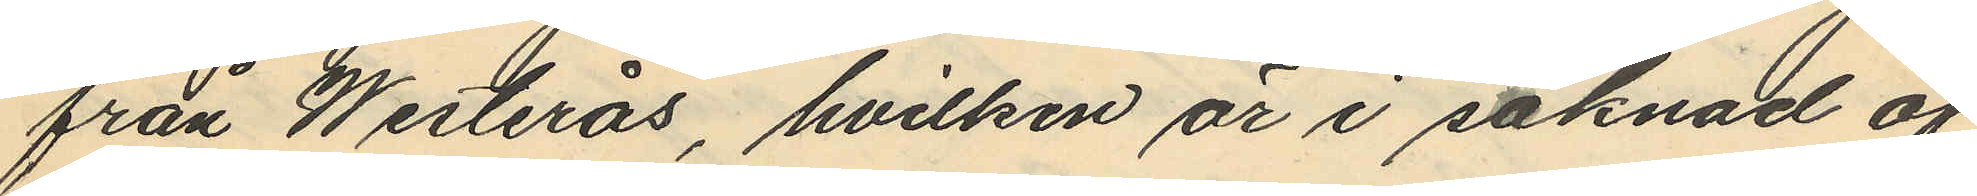från Westerås, hvilken är i saknad af
